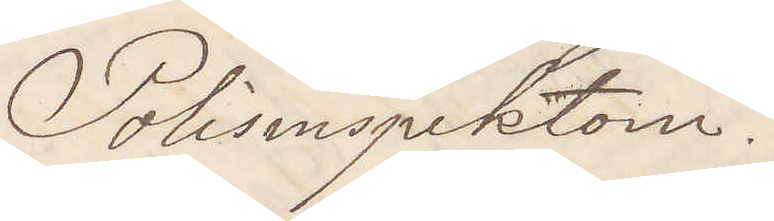Polisinspektorn.
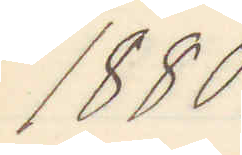1880.
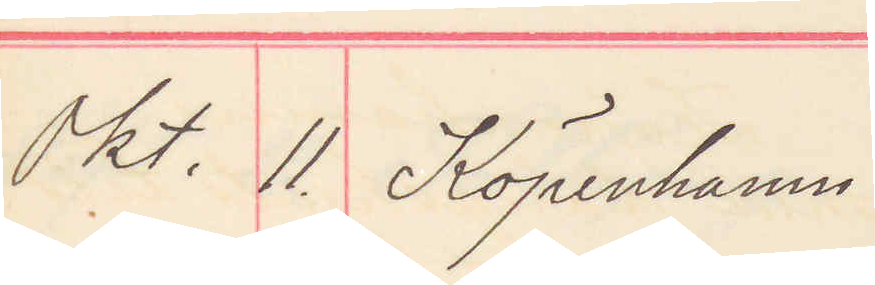Okt. 11. Köpenhamn
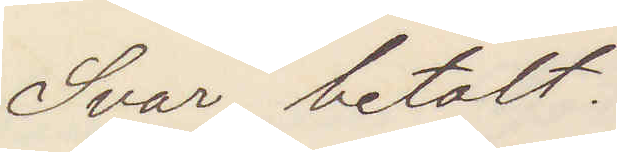Svar betalt
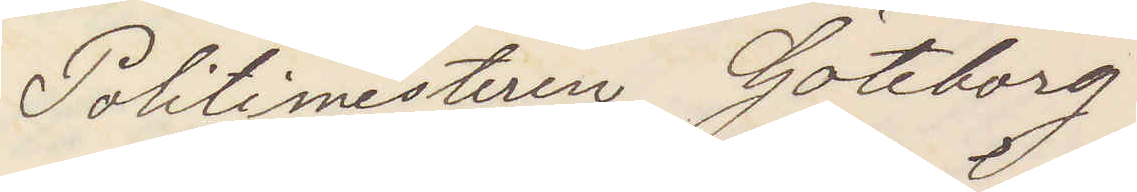Politimesteren Göteborg
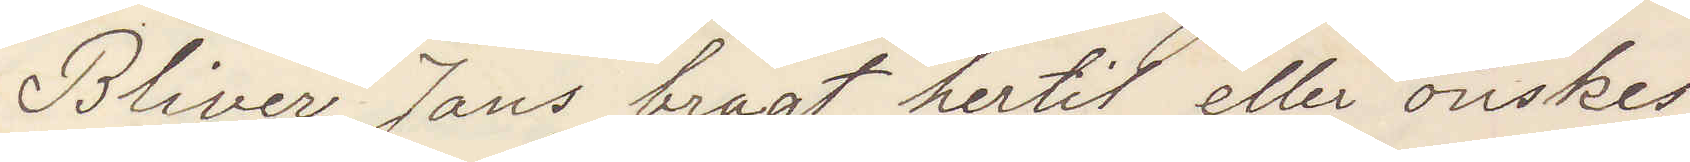Blifver Jans bragt hertil eller önskes
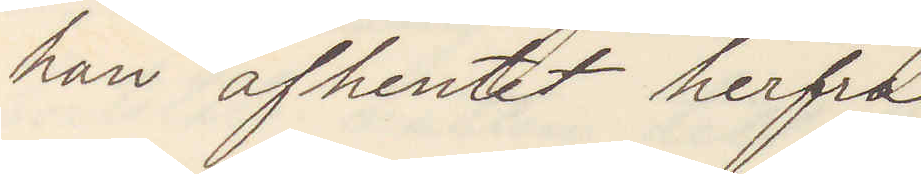han afhemtet herfra
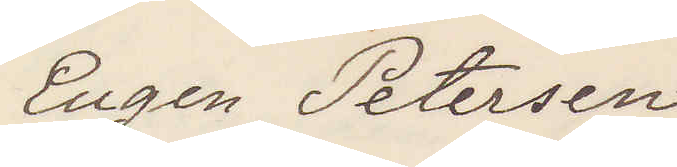Eugen Petersen
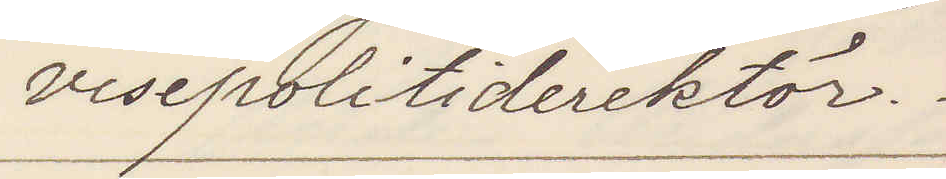visepolitidirektör.
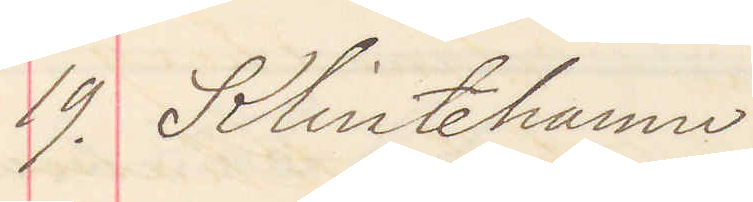19. Klintehamn
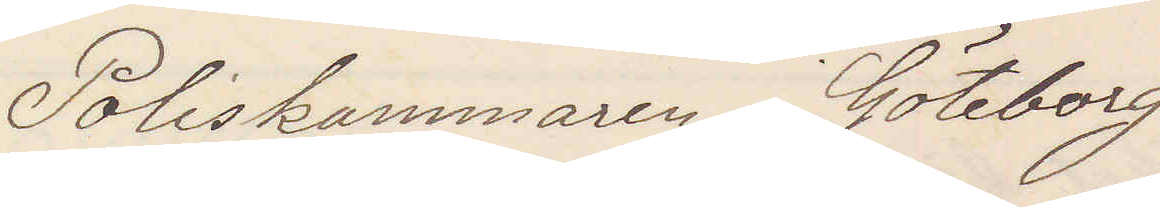Poliskammaren i Göteborg
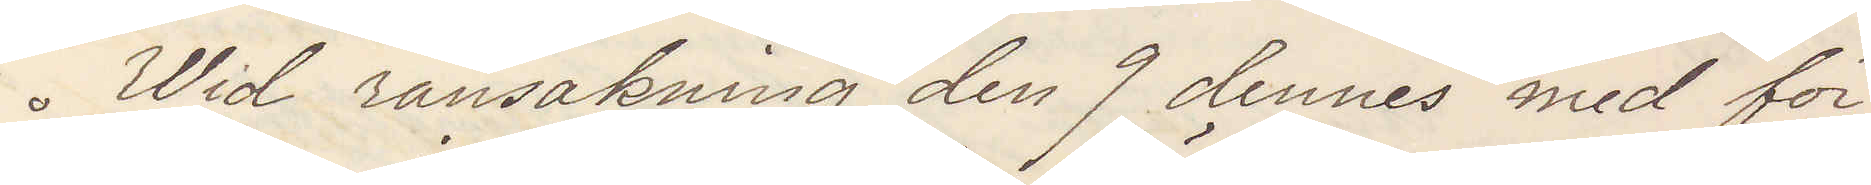Wid ransakning den 9 dennes med för
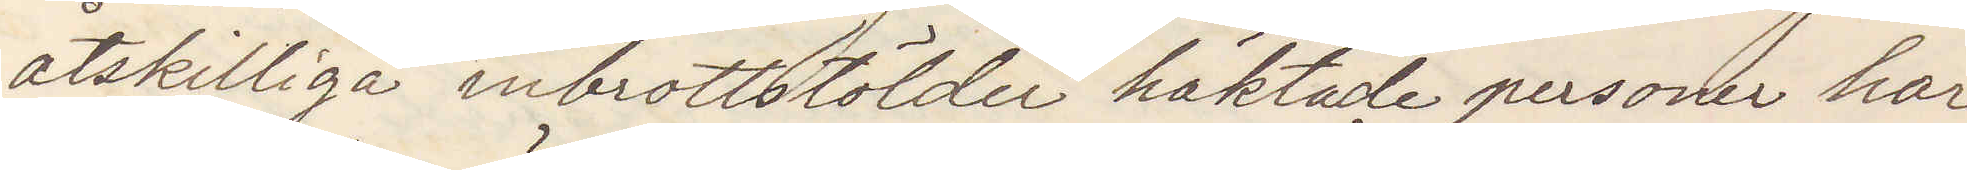åtskilliga inbrottsstölder häktade personer har
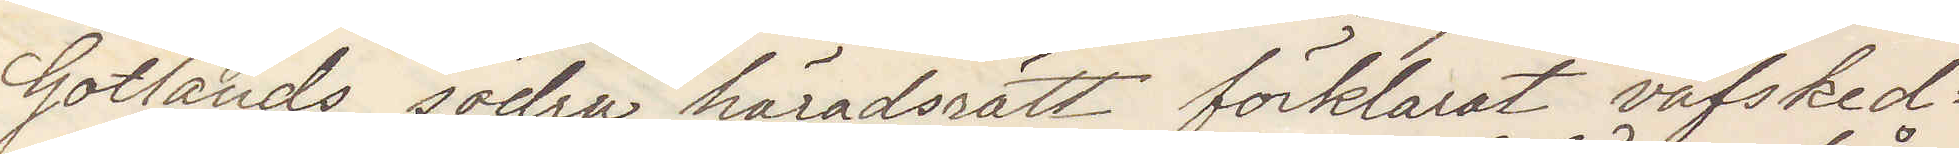Gotlands södra häradsrätt förklarat väfskeds¬
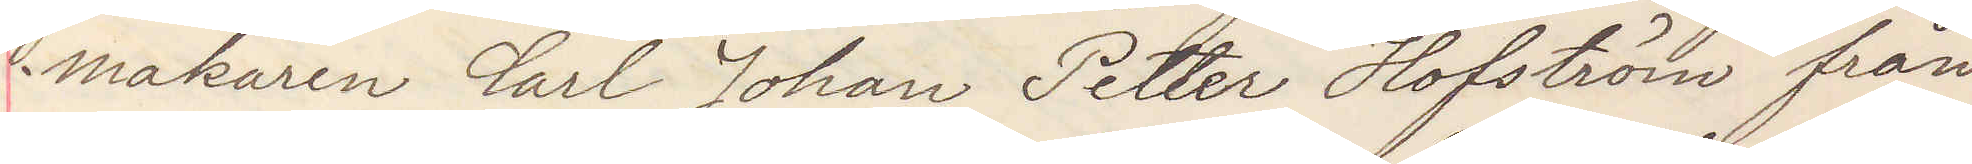makaren Carl Johan Petter Hofström från
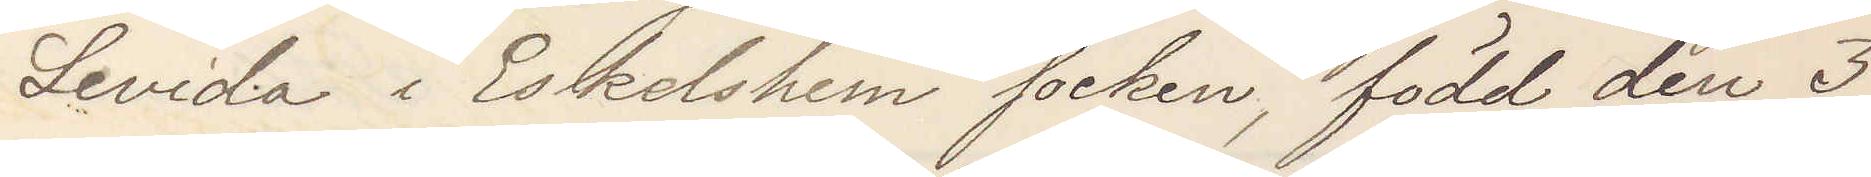Levida i Eskelshem socken, född den 3
